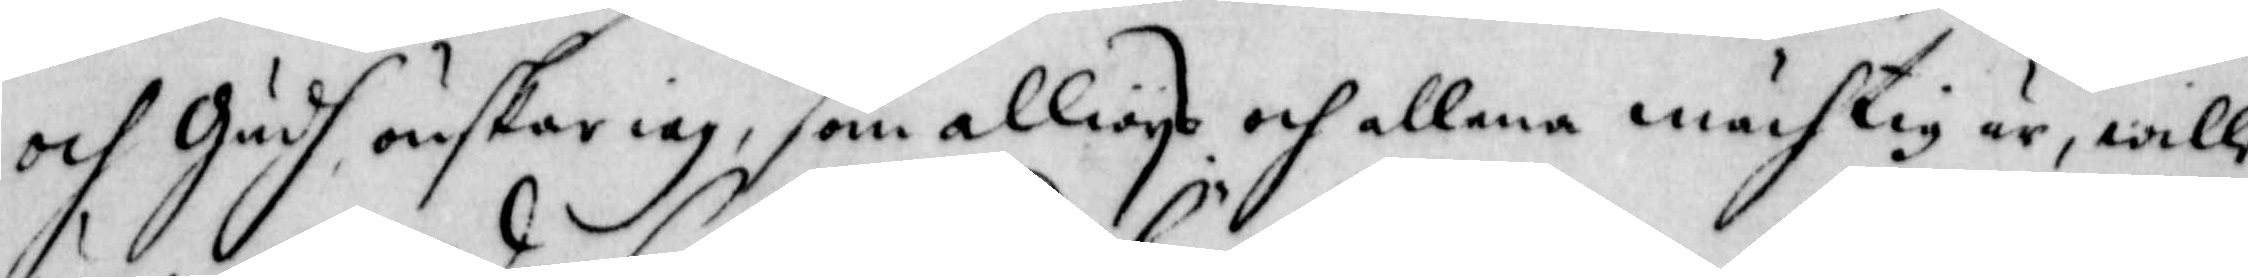och Gudh önskar iag, som allwys och allena mächtig är, wille
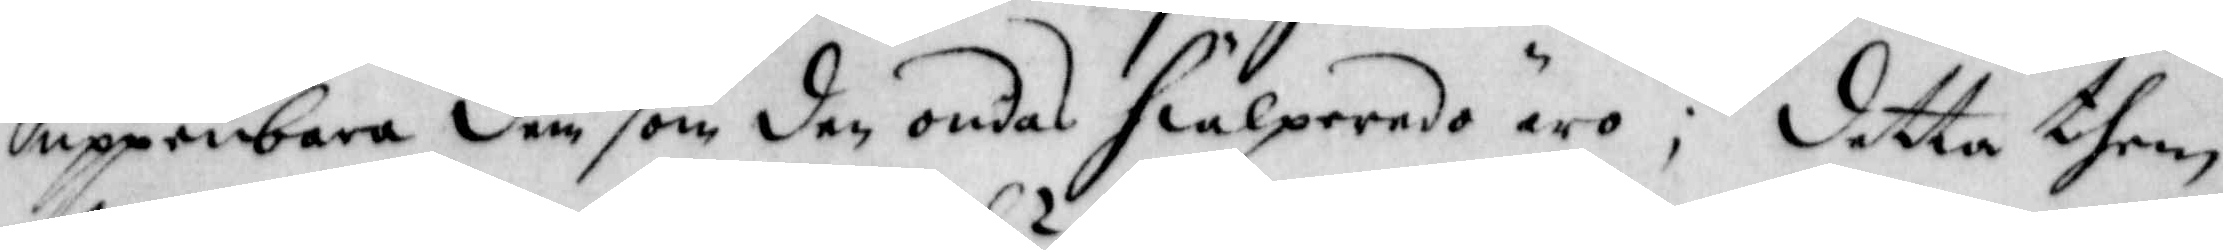uppenbara dem som den ondas hiälpreeda äro; detta them
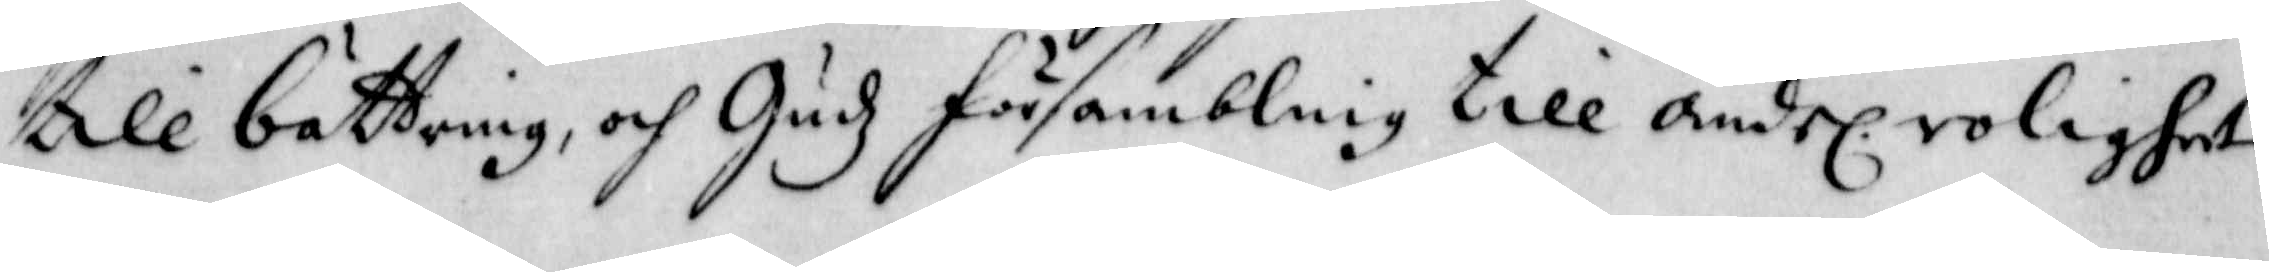till bättring, och Gudz försambling till andel: roligheet
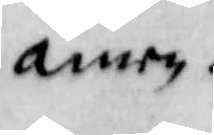amen.
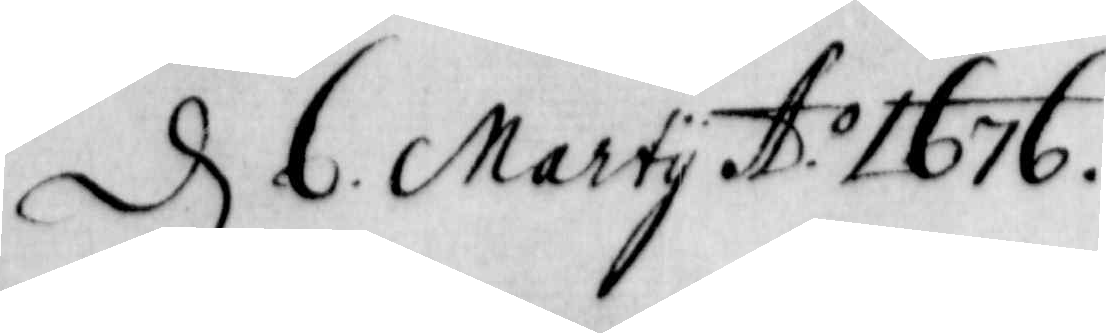d 6 Marty A.o 1676
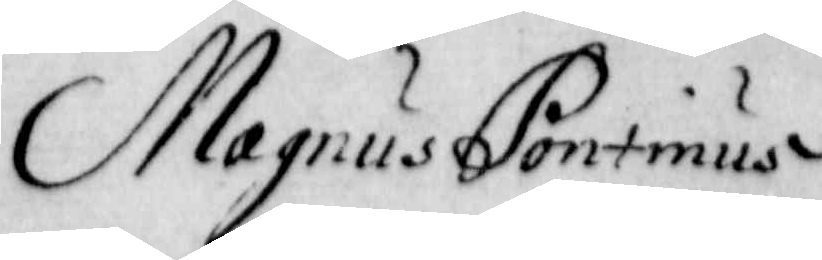Magnus Pontinus
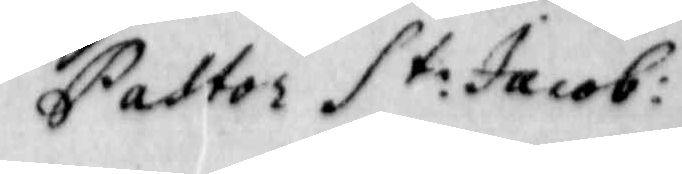Pastor St: Jacob:
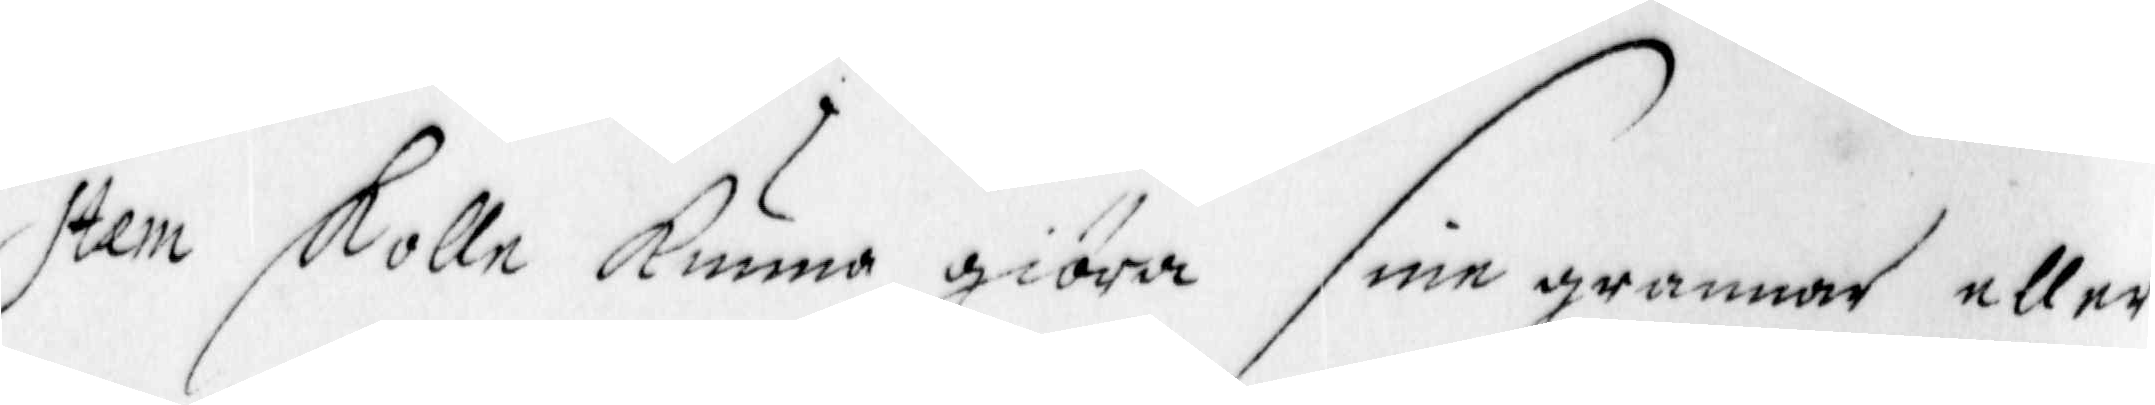Item skulle kunna giöra sine grannar eller
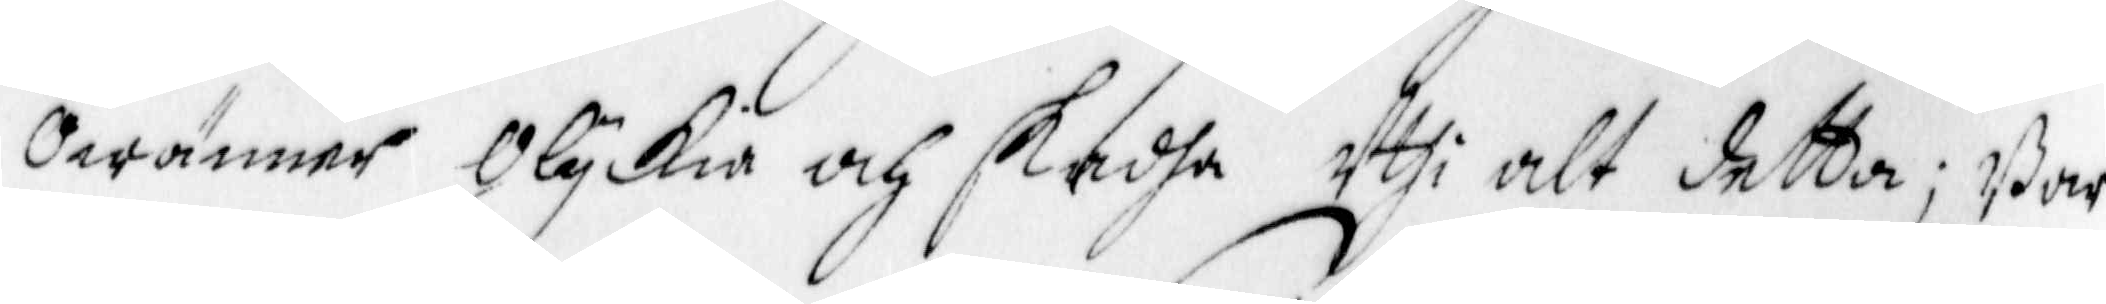Owänner Olyckia och skadha Uthi alt detta; Ba¬r
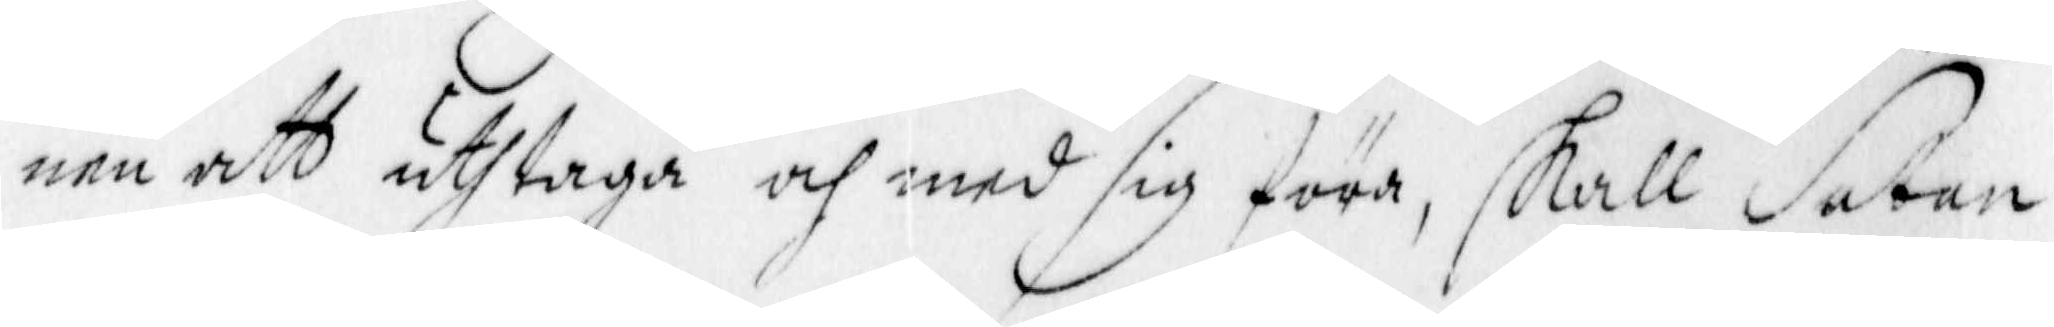nen att uthtaga och med sig föra, skall Satan
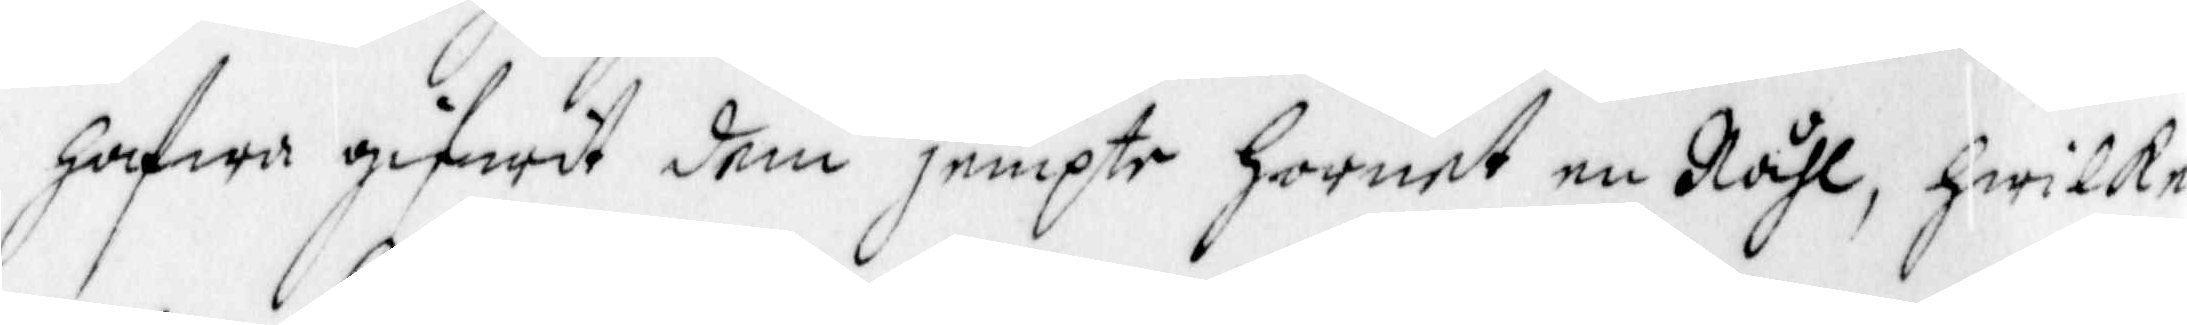hafwa gifwith dhem jempte Hornet en Nåhl, hwilka
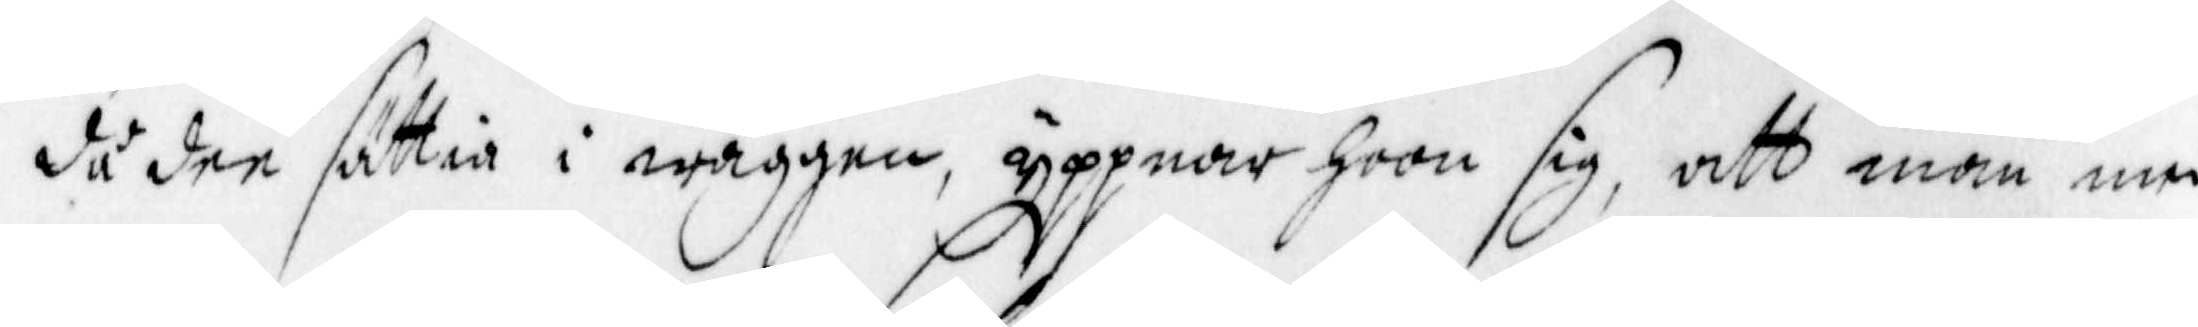då den sättia i wäggen, öppnar Hoon sig, att man med
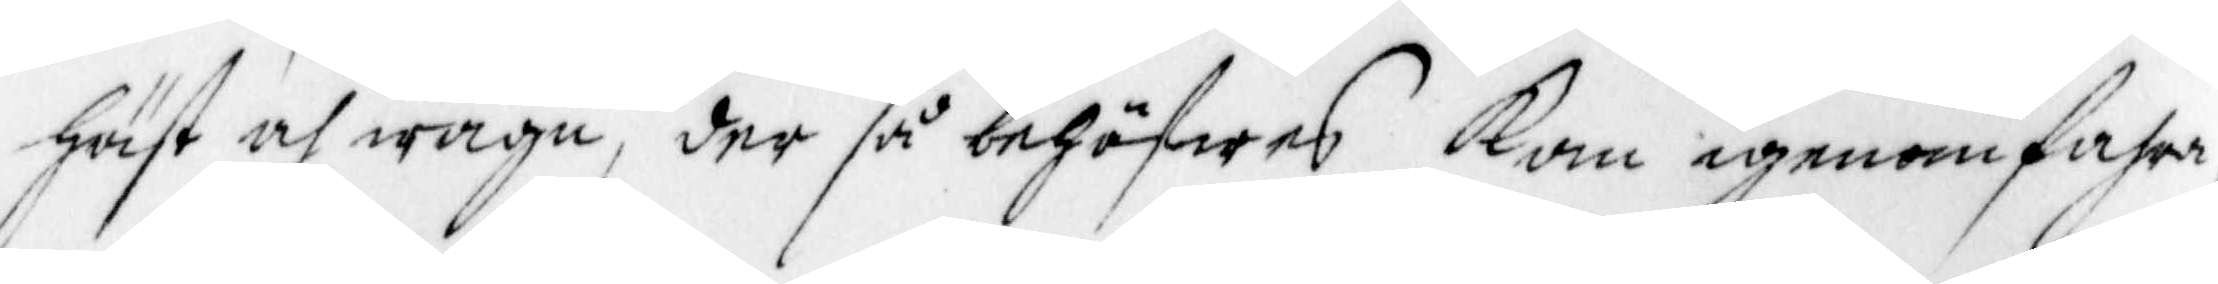häst och wagn, der så behöfwes kan igenomfahra,
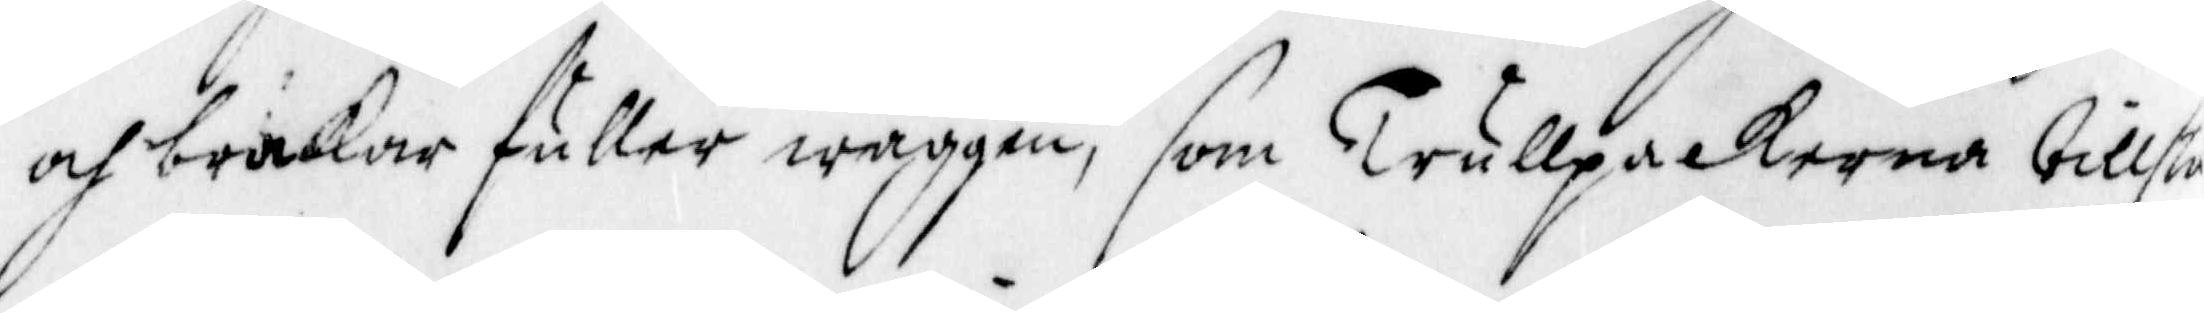och brukar fuller wäggen, som Trullpackerna tillstå
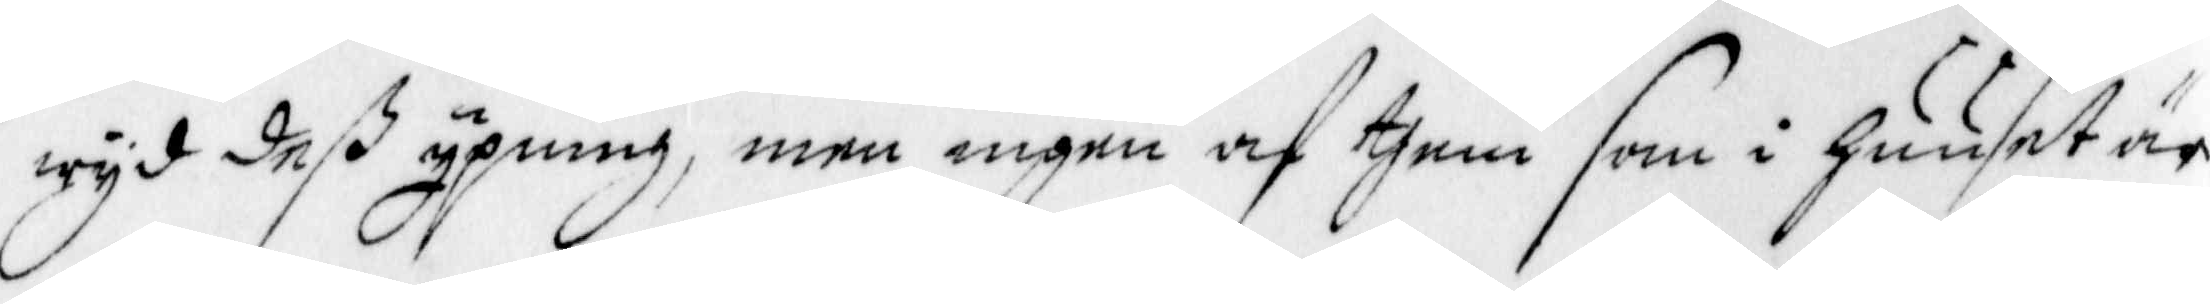wyd deß ypning, men ingen af them som i huuset är
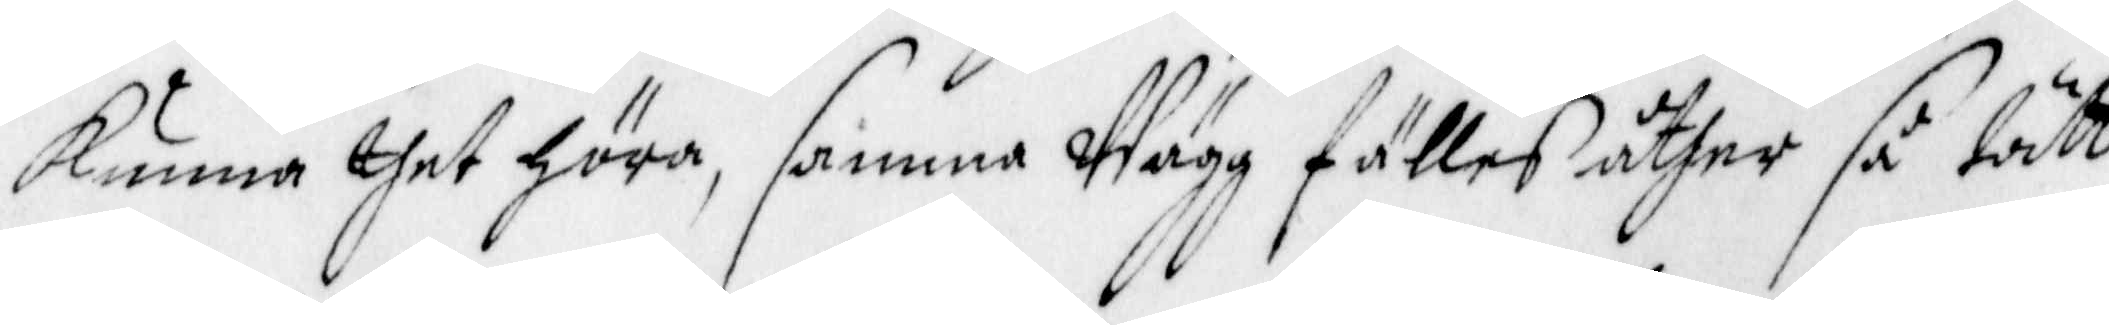kunna thet höra, samma Wägg fälles åther så tätt
